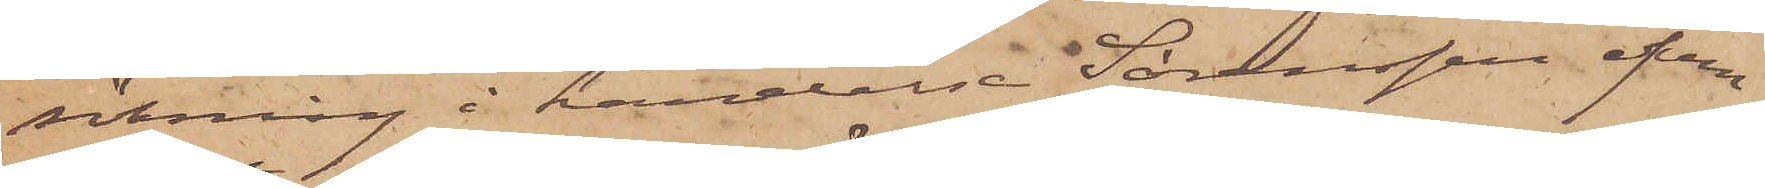sökning i händelse Sörenssen äfven
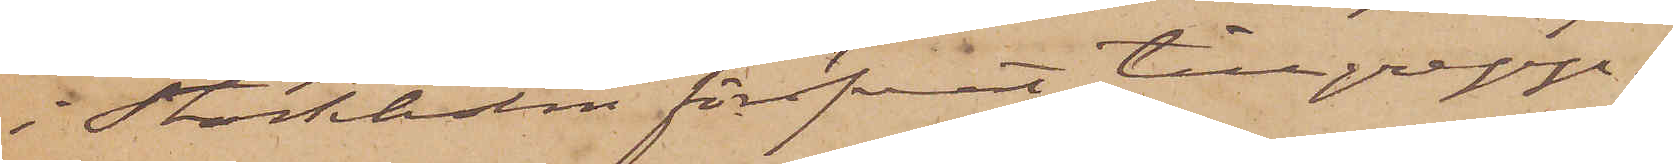i Stockholm föröfvat tillgrepp.
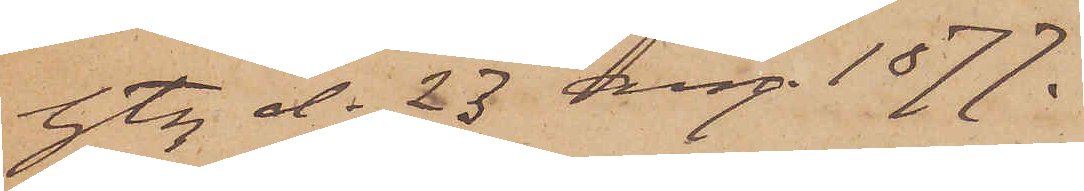Gbg d. 23 Aug. 1877.
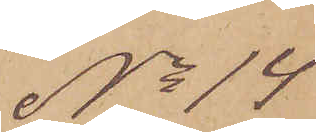No 14
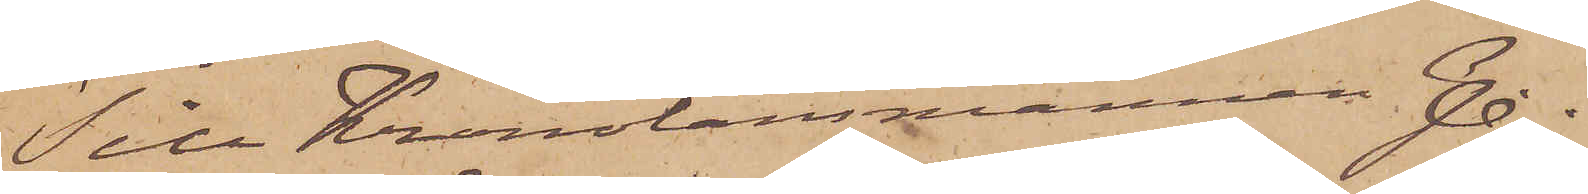Till Kronolänsmannen J.
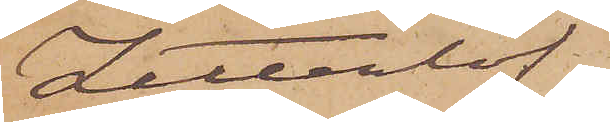Zetterlöf
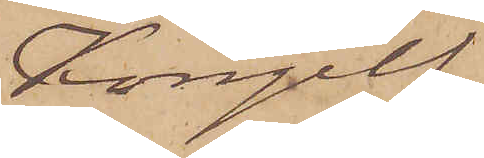Kongelf
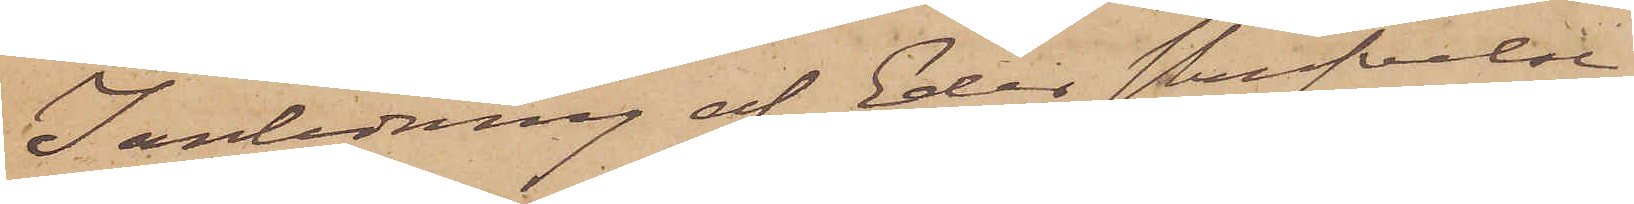I anledning af Eder skrifvelse
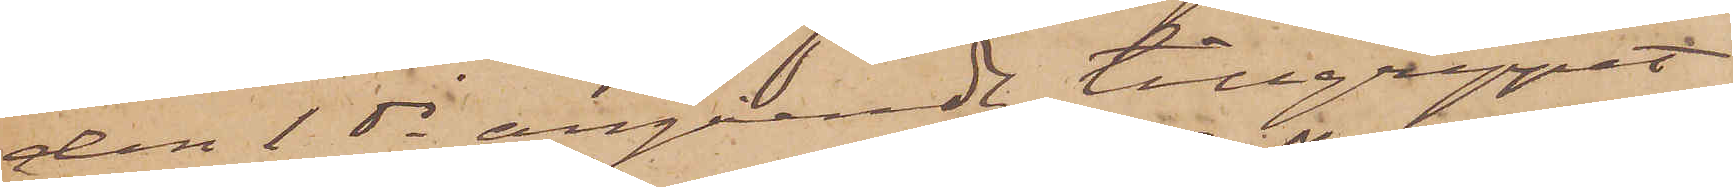den 1 ds angående tillgreppet
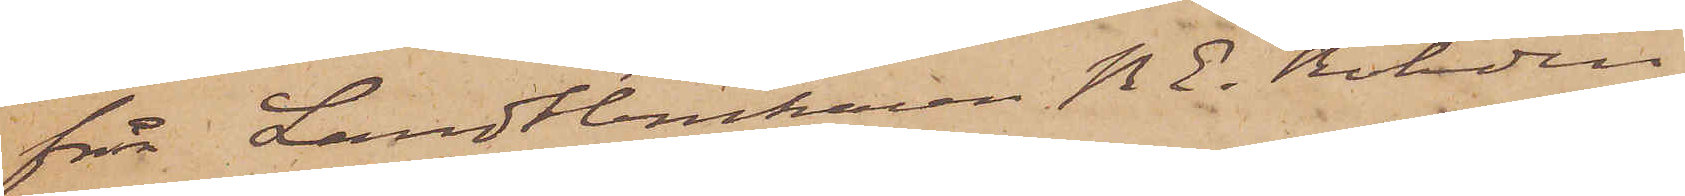från Landtbrukaren P. E. Rohdin,
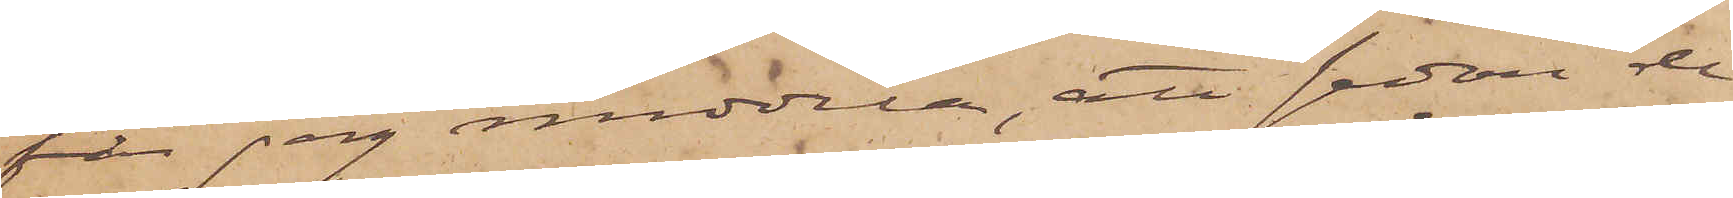får jag meddela, att sedan de
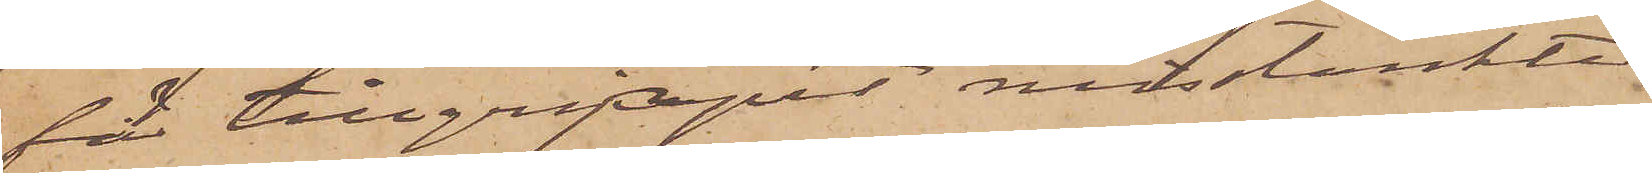för tillgreppet misstänkte
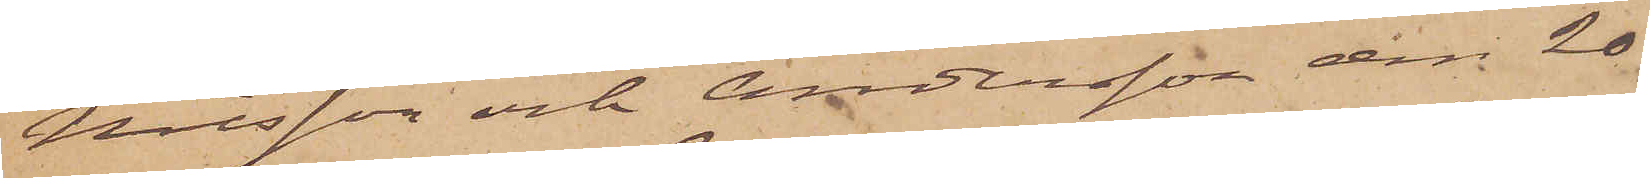Nilsson och Andersson den 20
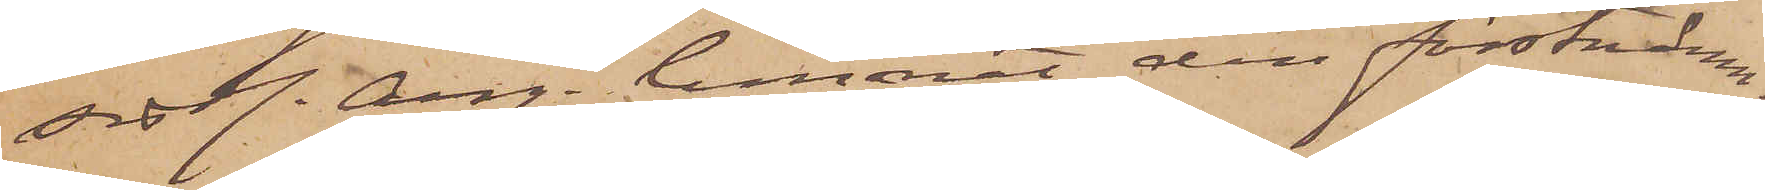sistl. Aug. lemnat den förstnämn¬
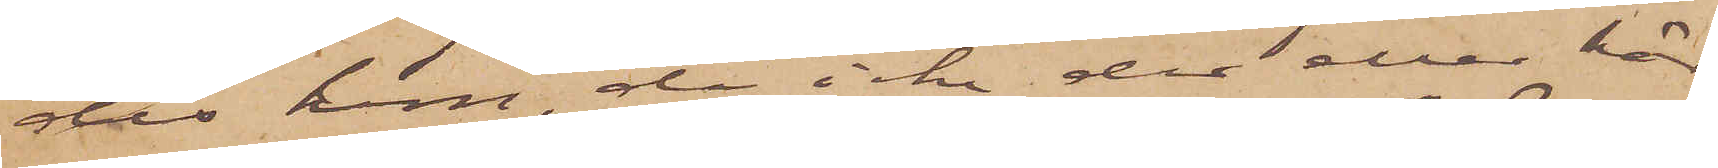des hem, då icke der eller här
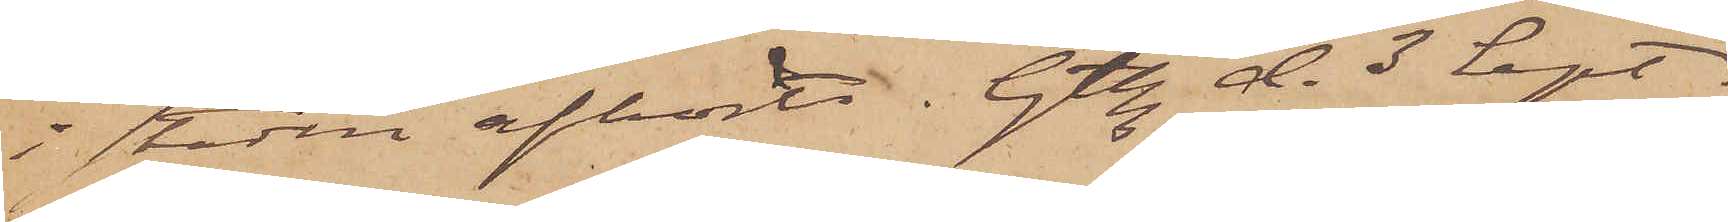i staden afhörts. Gtbg. d. 3 Sept.
